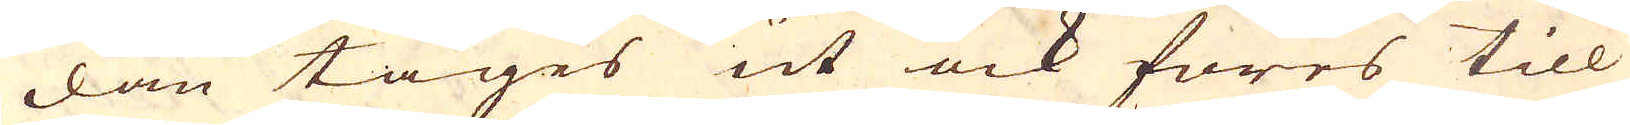dan tages ut ock föres till
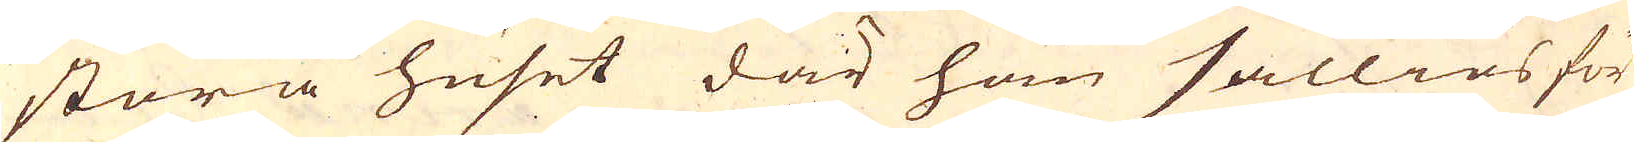stora huset där han sällies för
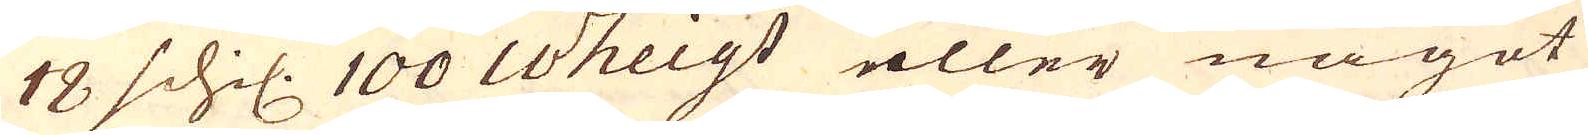18 schil. 100 wheigt eller något
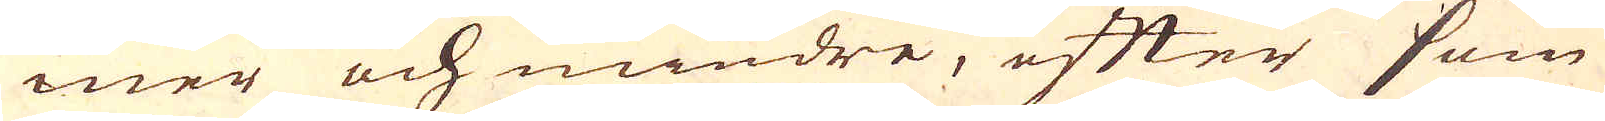mer och mindre, efter som
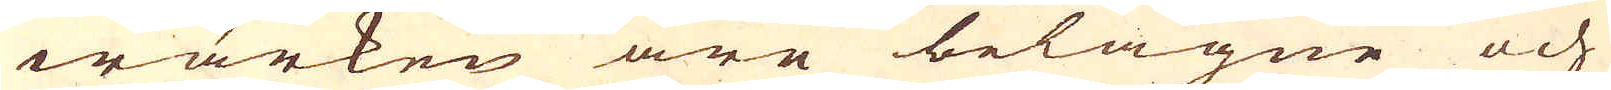wärken äre belägne och
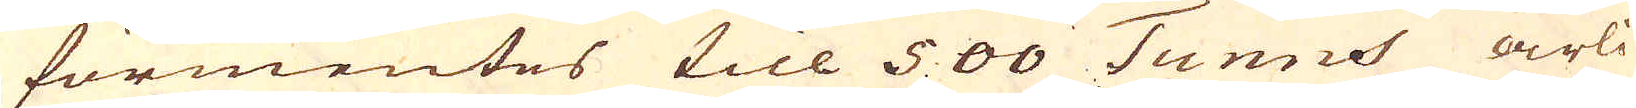förmentes till 500 Tunns årli-
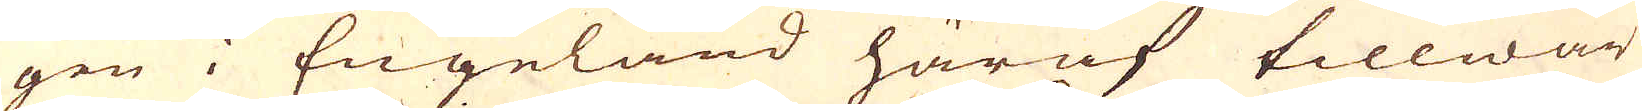gen i Engeland häraf tillwär-
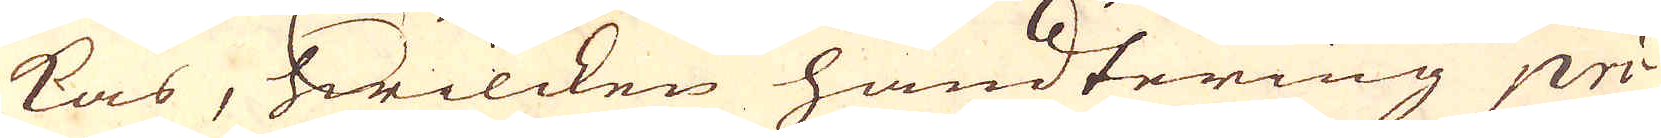kas, hwilcken handtering pri-
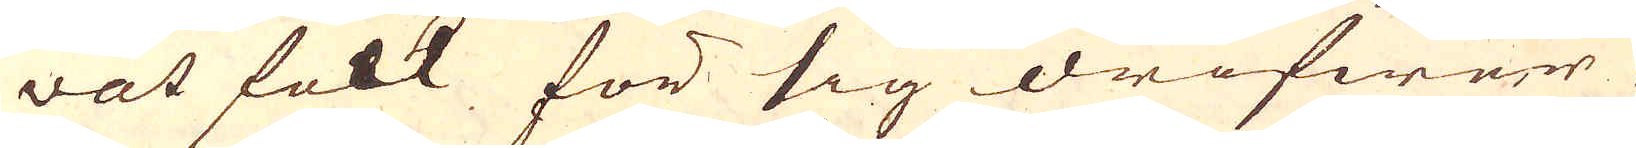vat folk för sig drifwer,
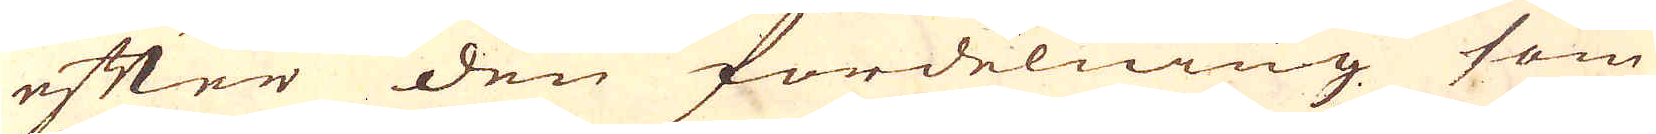efter den fördelning som
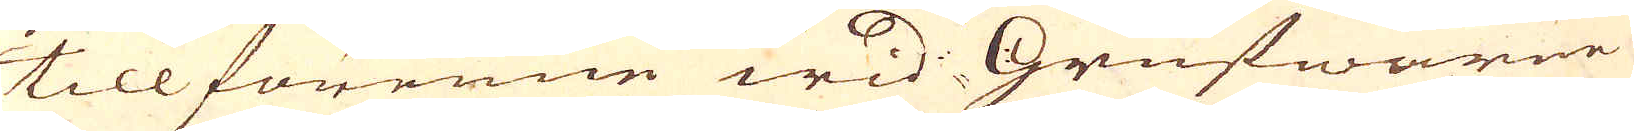tillförenne wid Grufworne
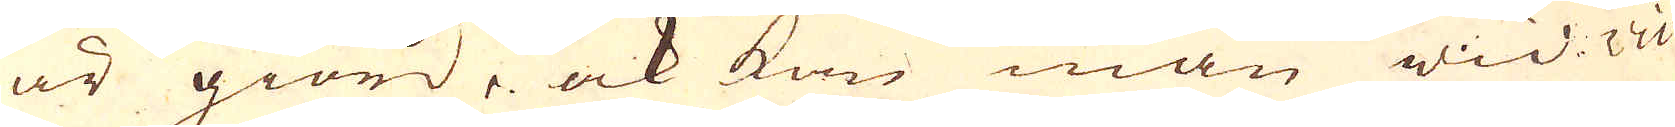är giord, ock kan man wid vic-
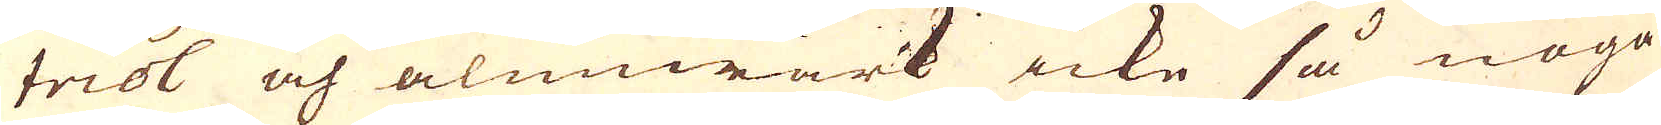triol och alunwärk icke så noga
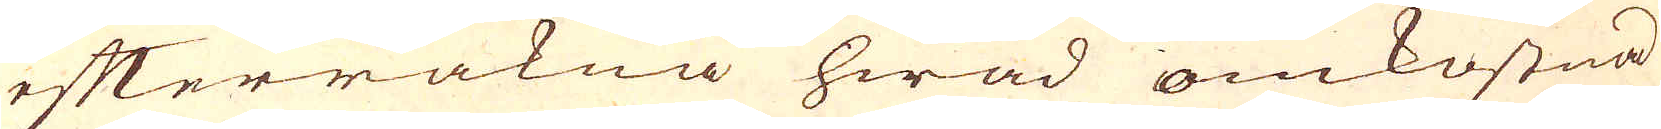efterräkna hwad omkostnad
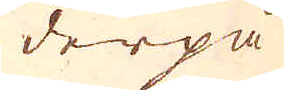derpå
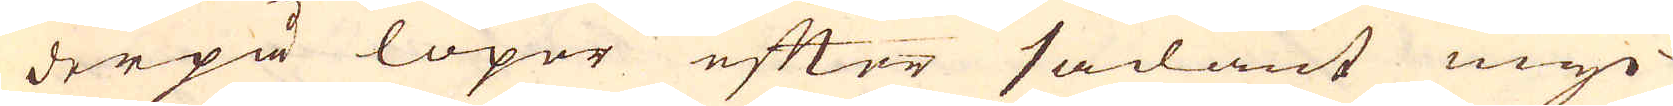derpå löper efter sådant myc-
